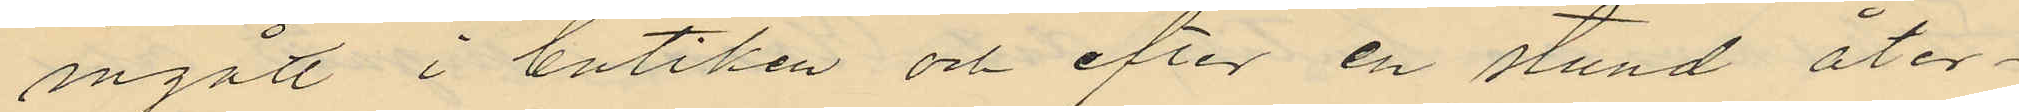ingått i butiken och efter en stund åter¬
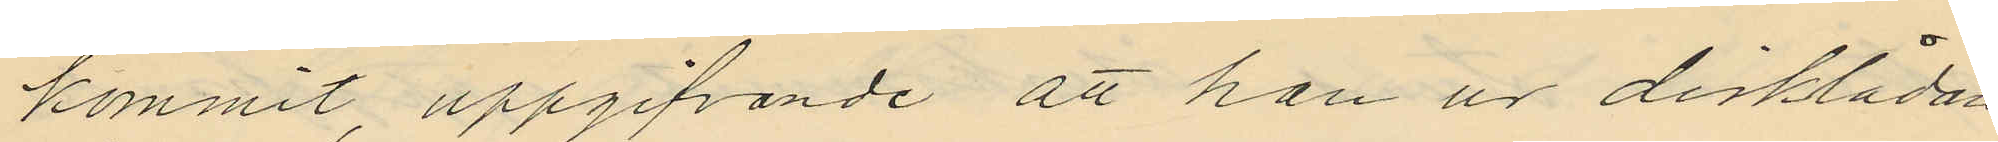kommit, uppgifvande att han ur disklådan
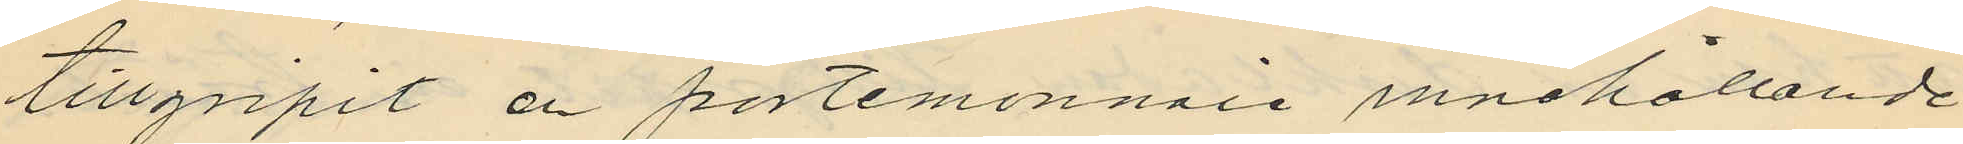tillgripit en portemonnaie innehållande
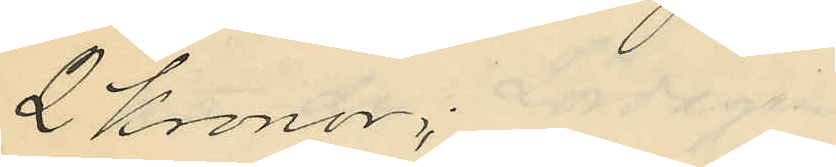2 kronor;
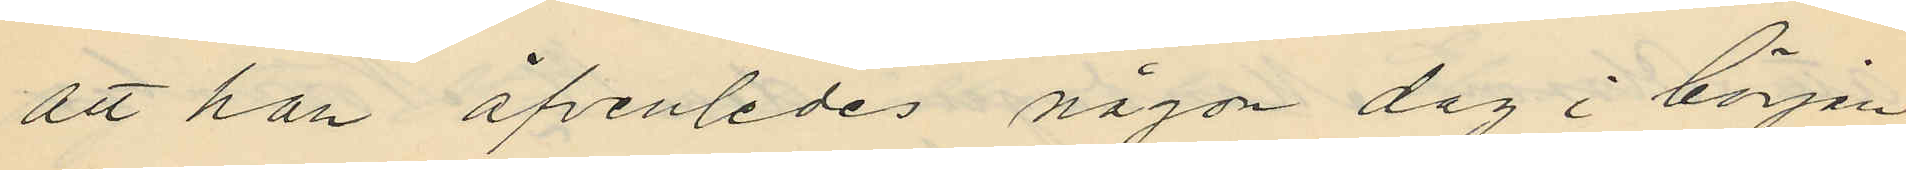att han äfvenledes någon dag i början
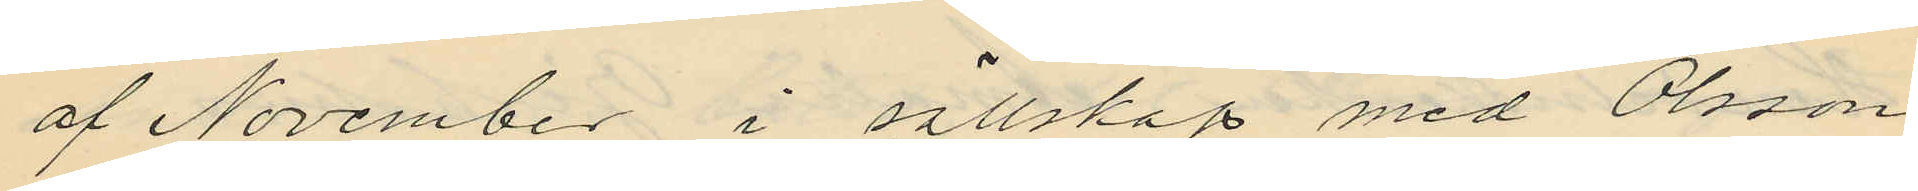af November i sällskap med Olsson
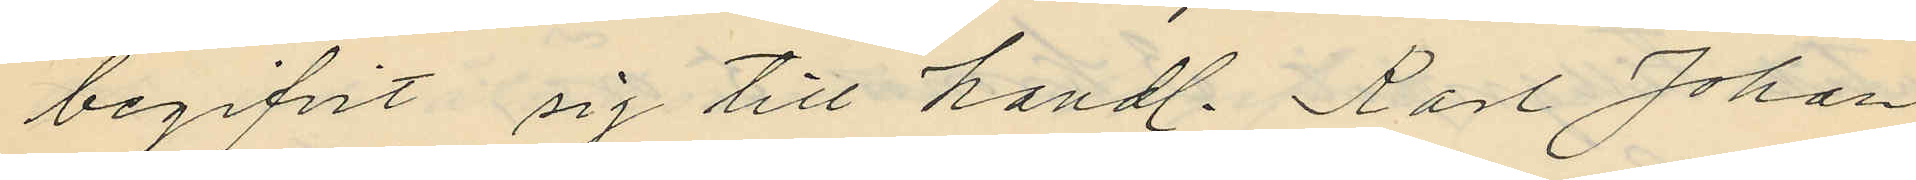begifvit sig till handl. Karl Johan
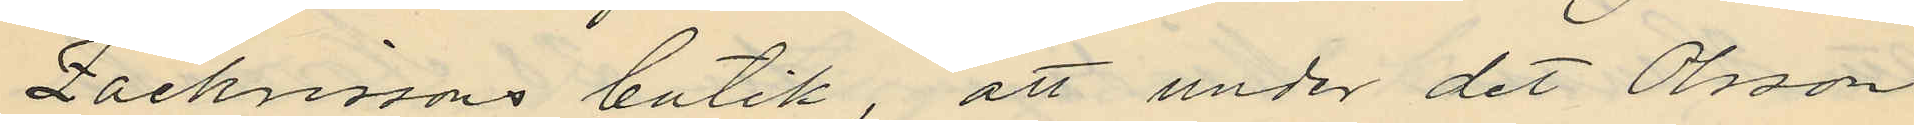Zachrissons butik, att under det Olsson
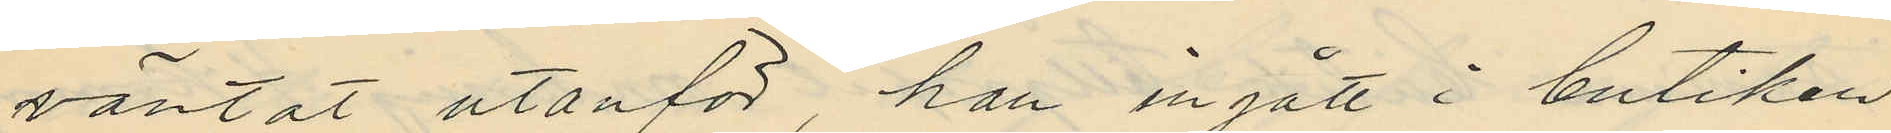väntat utanför, han ingått i butiken
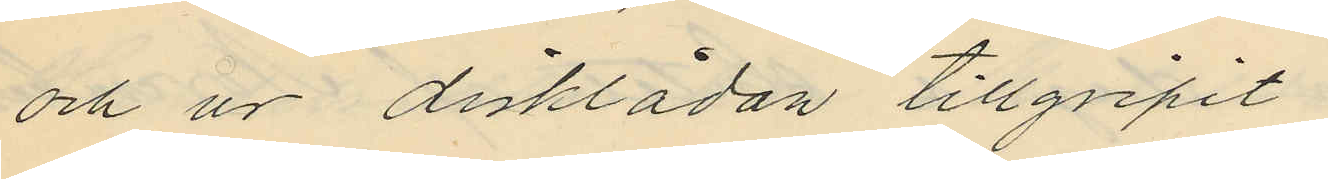och ur disklådan tillgripit
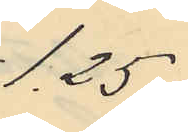1,25;
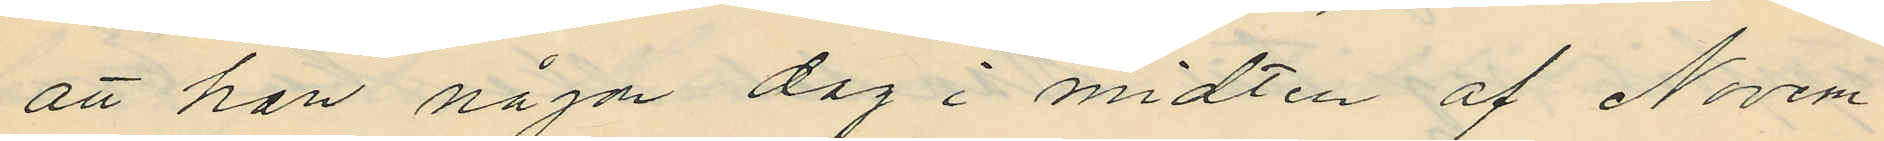att han någn dag i midten af Novem¬
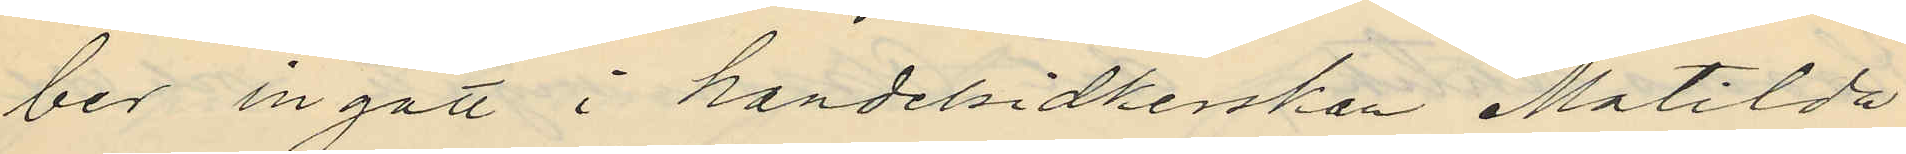ber ingått i handelsidkerskan Matilda
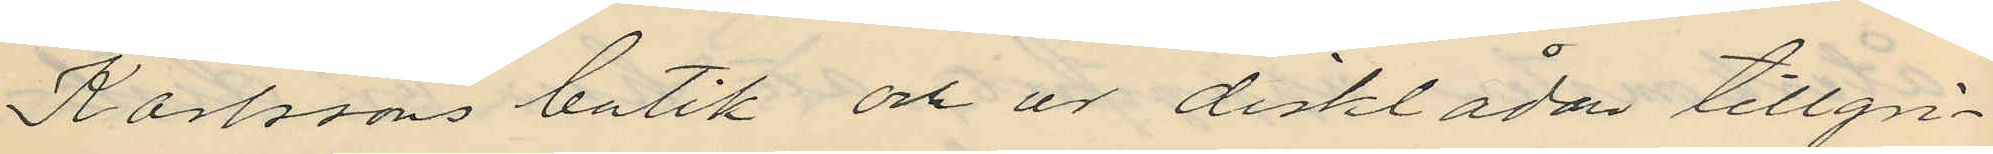Karlssons butik och ur disklådan tillgri¬
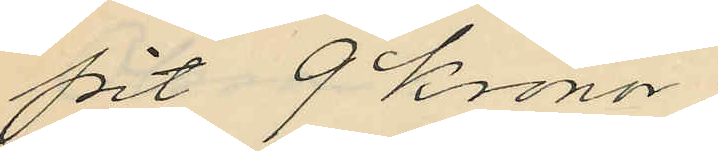pit 9 Kronor;
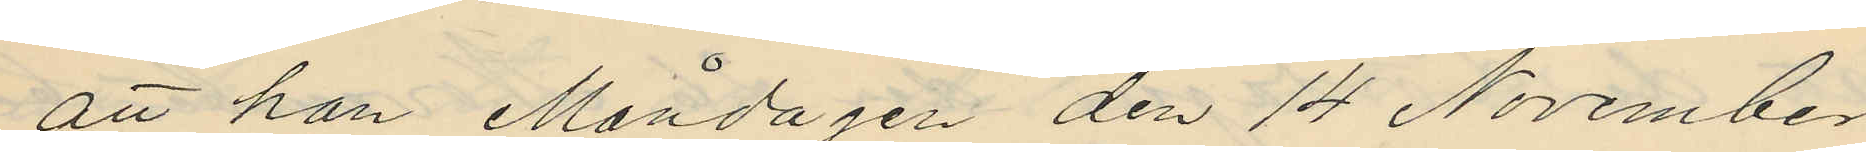att han Måndagen den 14 November
